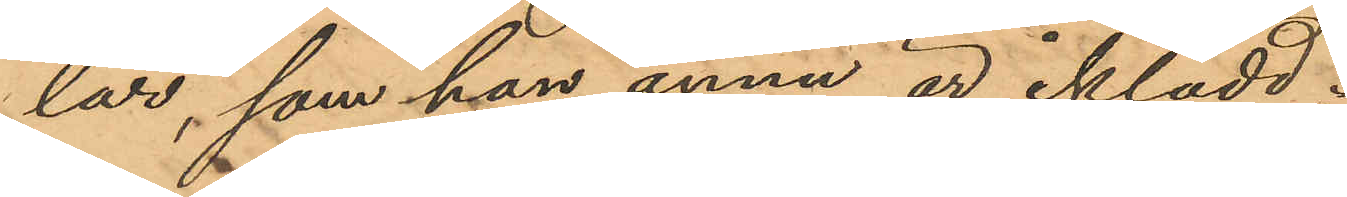lar, som han ännu är iklädd;
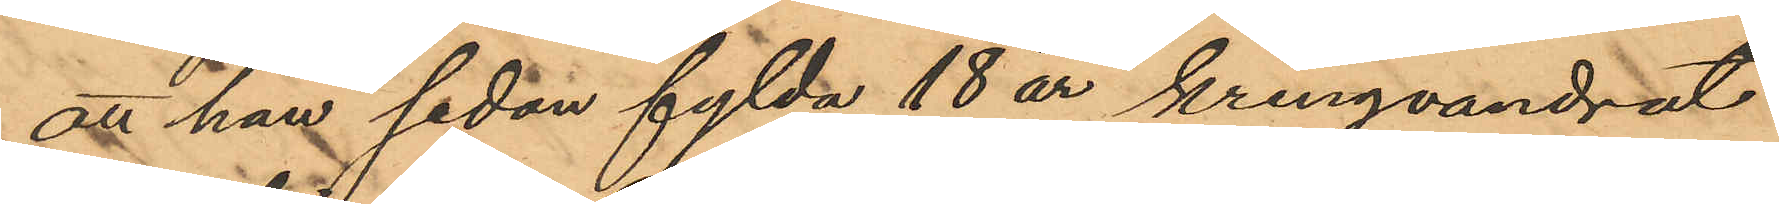att han sedan fylda 18 år kringvandrat
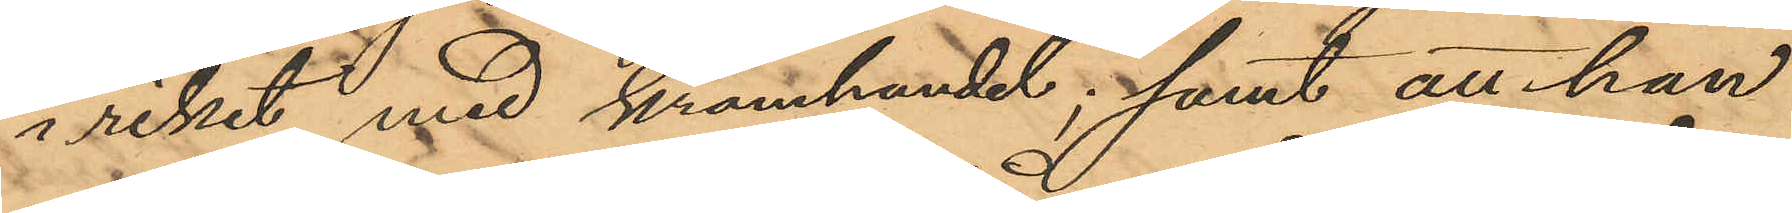i riket med kramhandel; samt att han
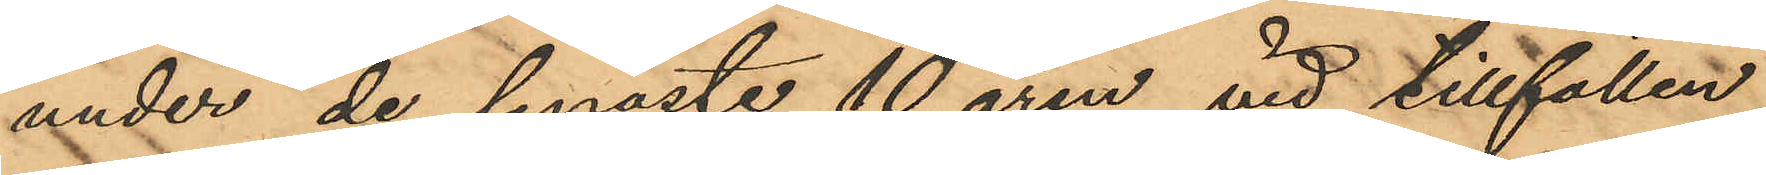under de senaste 10 åren vid tillfällen,
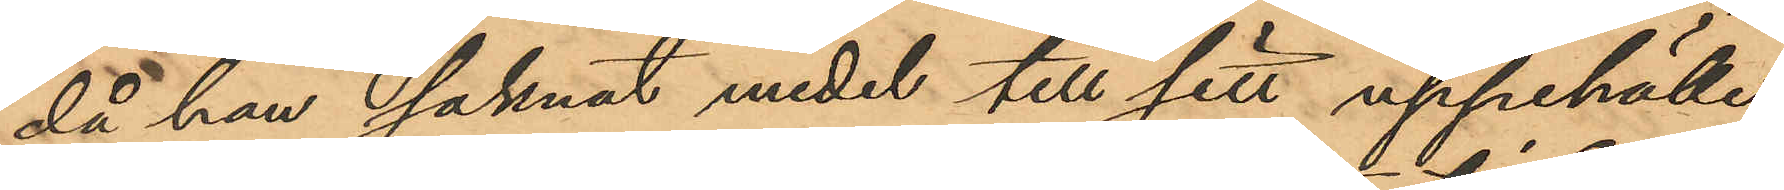då han saknat medel till sitt uppehälle,
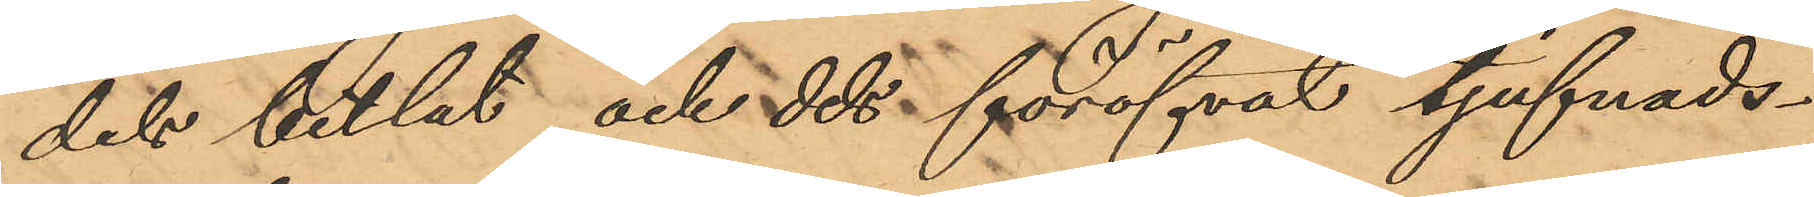dels betlat och dels föröfvat tjufnads¬
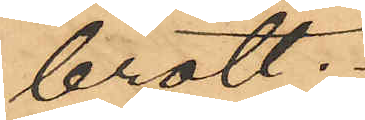brott.
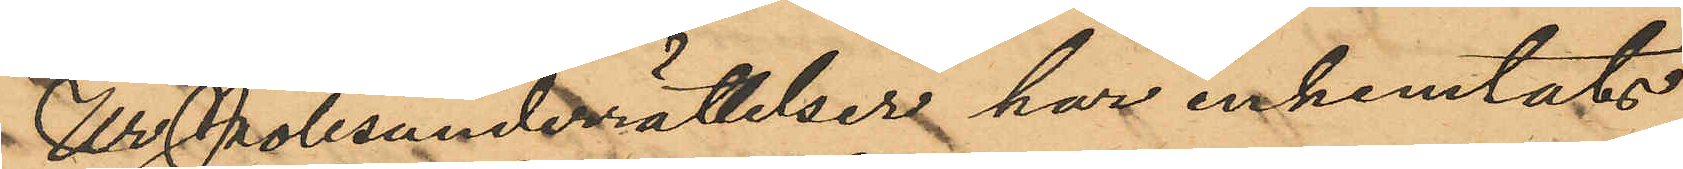Ur Polisunderrättelser har inhemtats
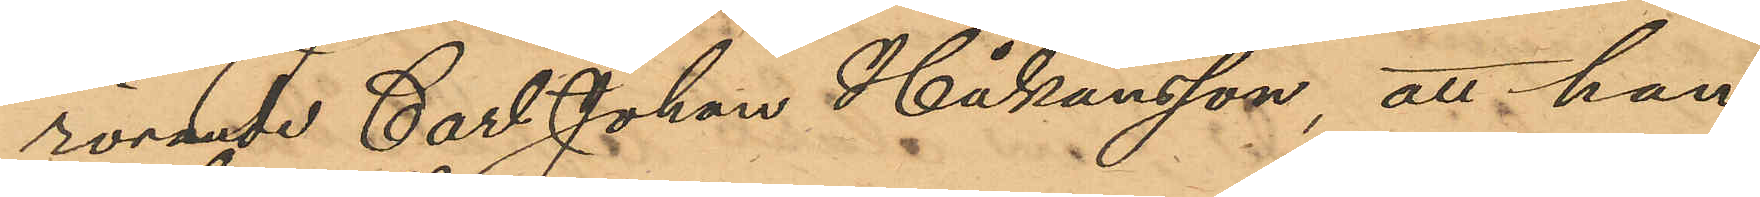rörande Carl Johan Håkansson, att han
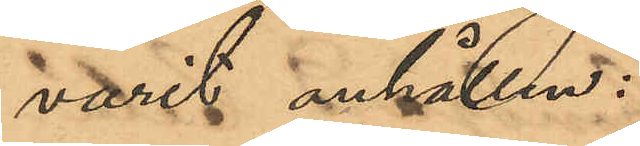varit anhållen:
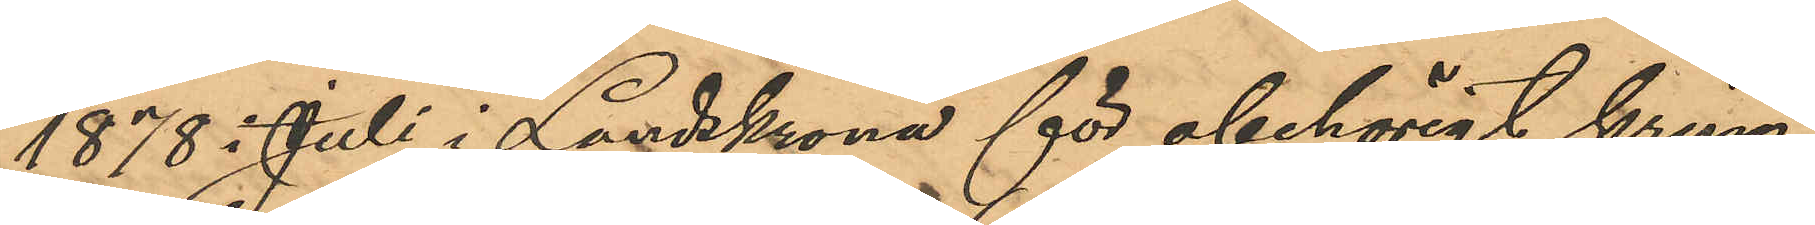1878 i Juli i Landskrona för obehörigt kring¬
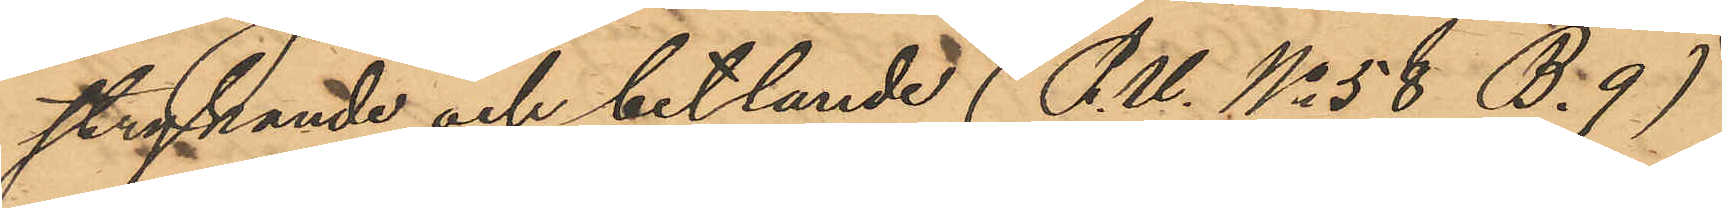strypande och betlande (P.U. No 58 B. 9)
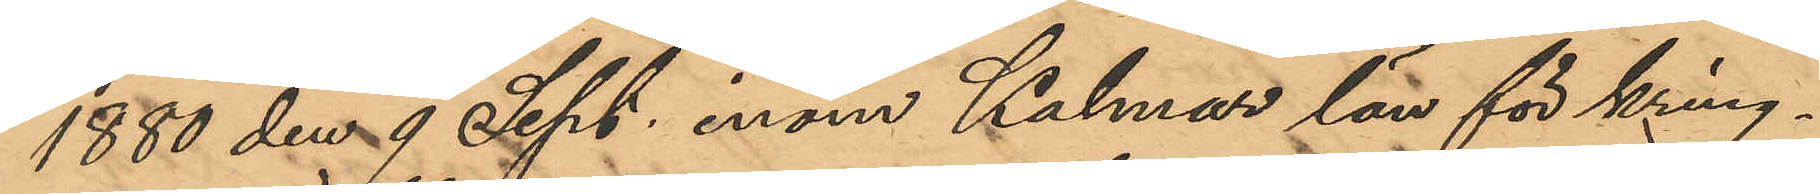1880 den 9 Sept. inom Kalmar län för kring¬
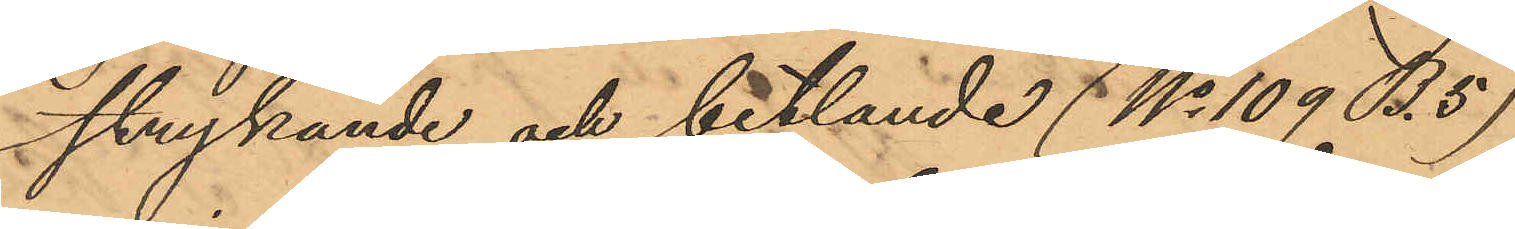strykande och betlande (No 109 B. 5)
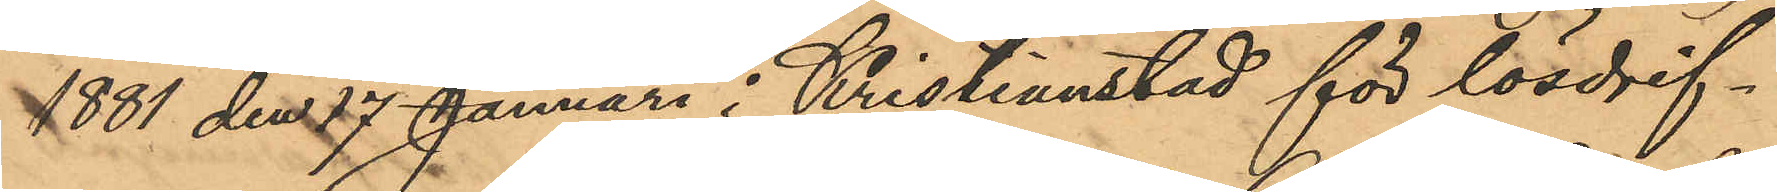1881 den 27 Januari i Kristianstad för lösdrif¬
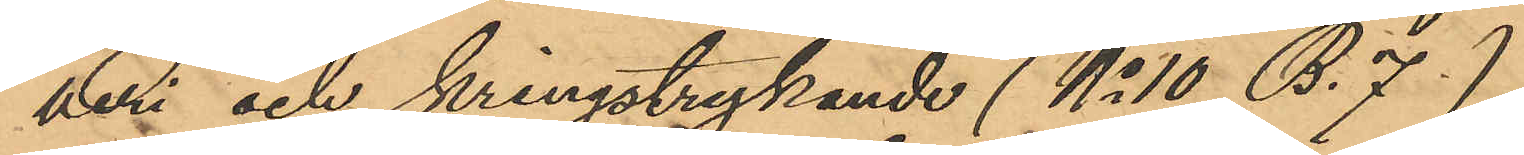veri och kringstrykande (No 10 B. 7.)
